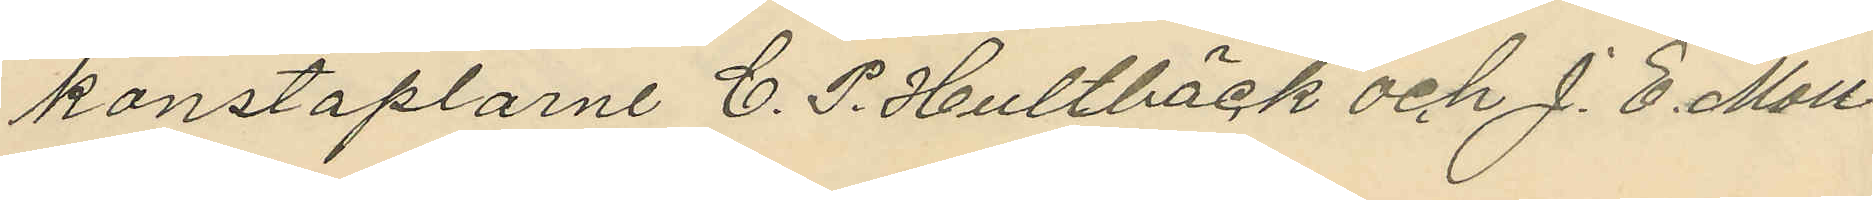konstaplarne C. P. Hultbäck och J. E. Moll¬
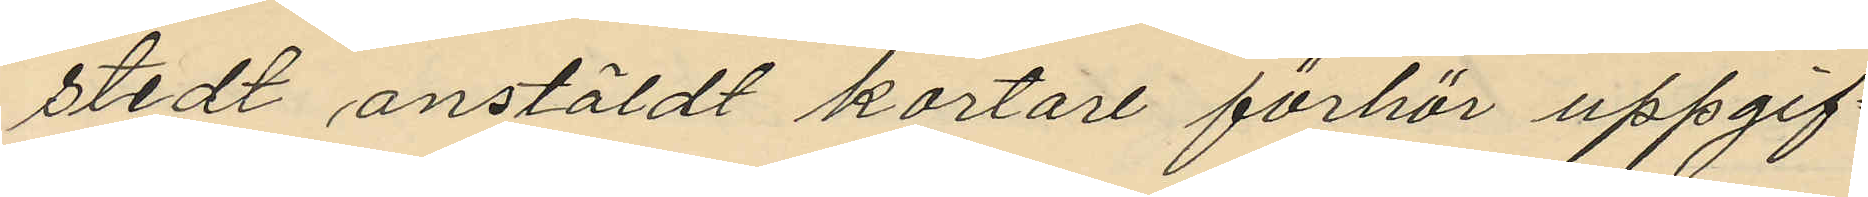stedt anstäldt kortare förhör uppgif¬
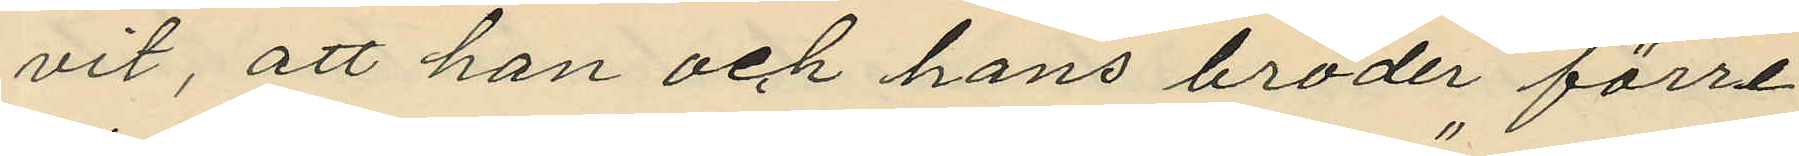vit, att han och hans broder förre
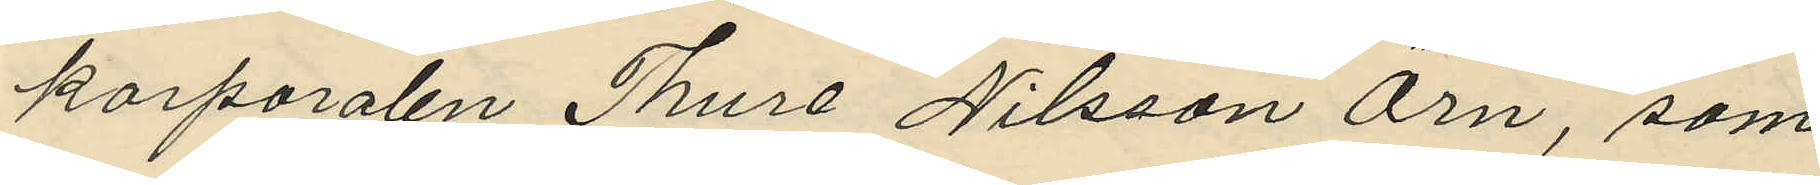korporalen Thure Nilsson Örn, som
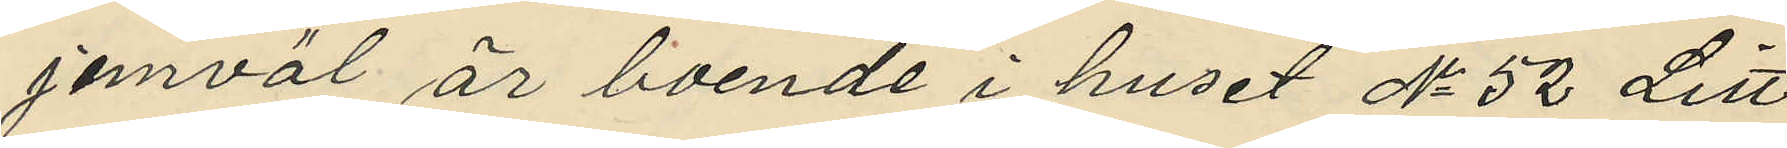jemväl är boende i huset No 52 Litt
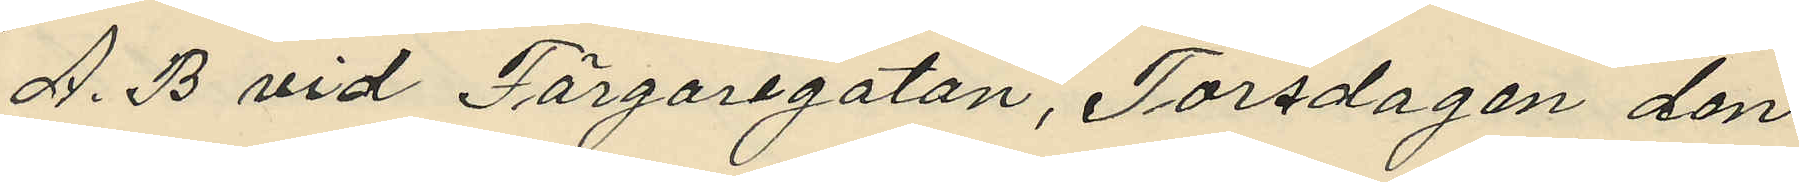A. B vid Färgaregatan, Torsdagen den
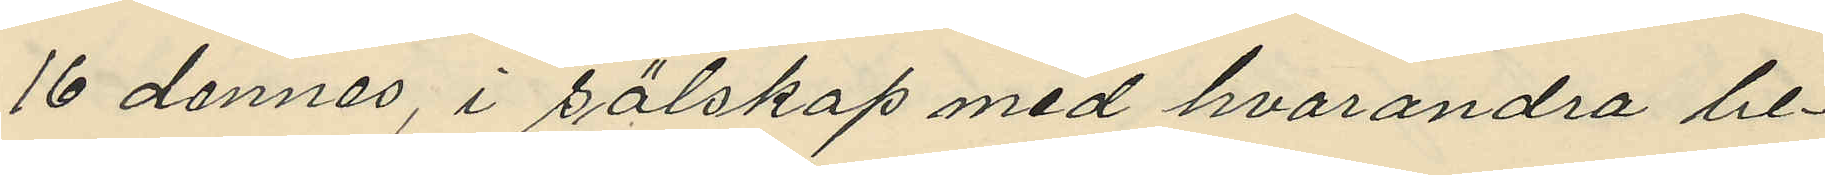16 dennes, i sälskap med hvarandra be¬
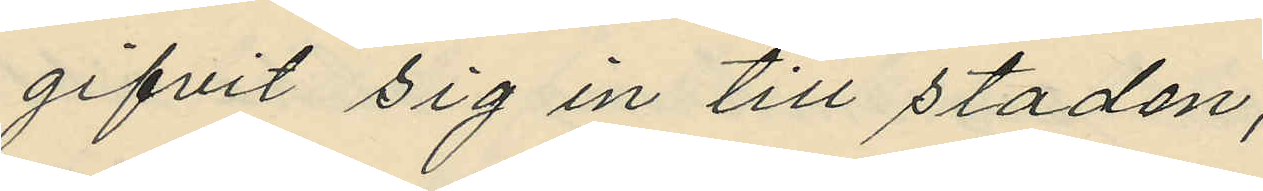gifvit sig in till staden;
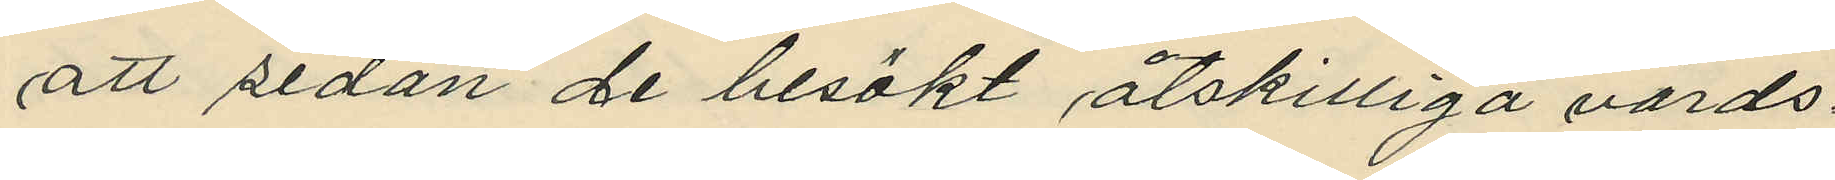att sedan de besökt åtskilliga värds¬
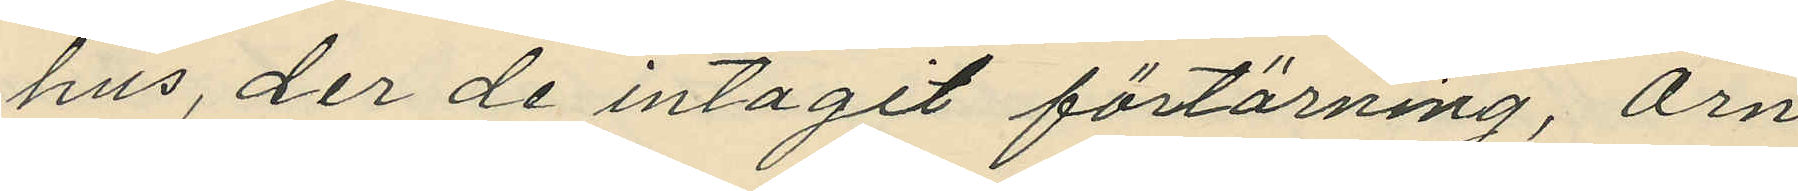hus, der de intagit förtärning, Örn
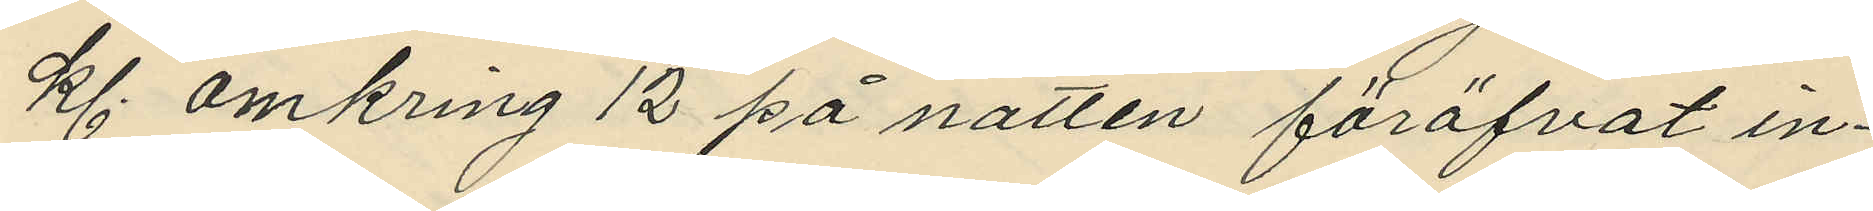kl. omkring 12 på natten föröfvat in¬
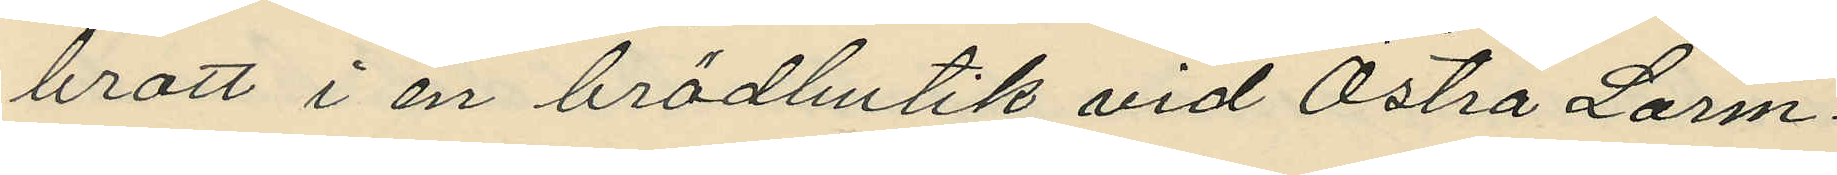brott i en brödbutik vid Östra Larm¬
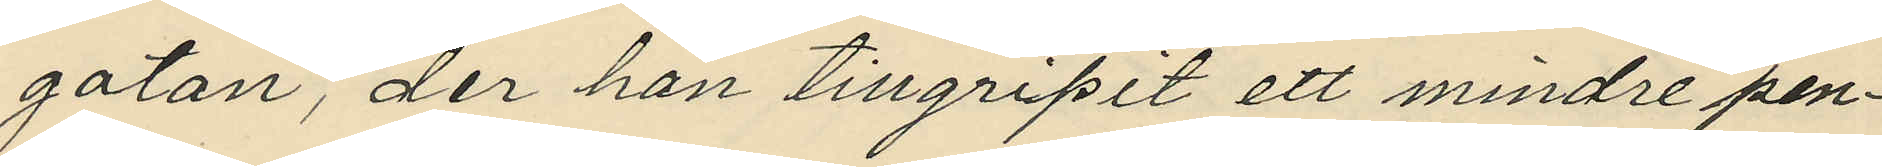gatan, der han tillgripit ett mindre pen¬
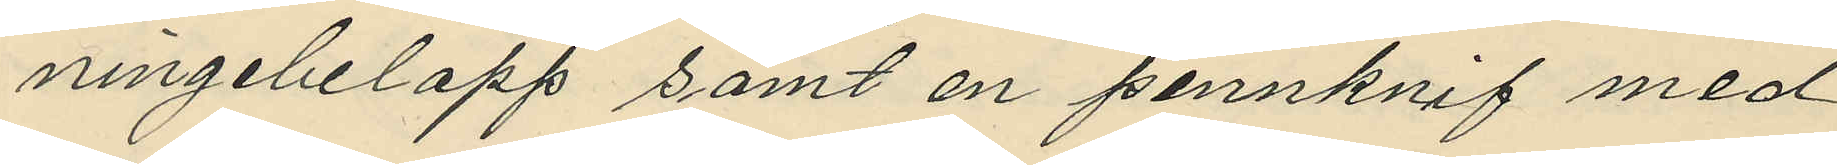ningebelopp samt en pennknif med
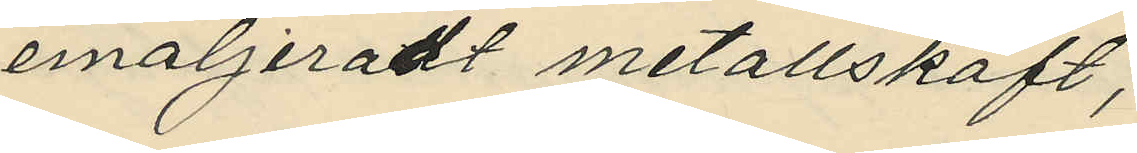emaljeradt metallskaft;
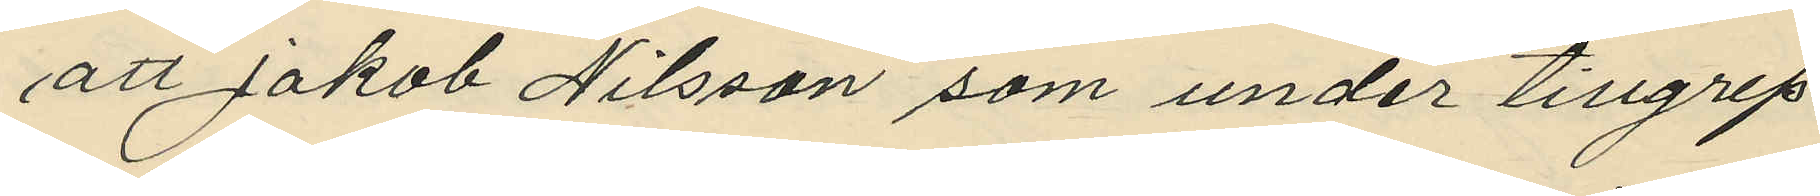att Jakob Nilsson som under tillgrep¬
